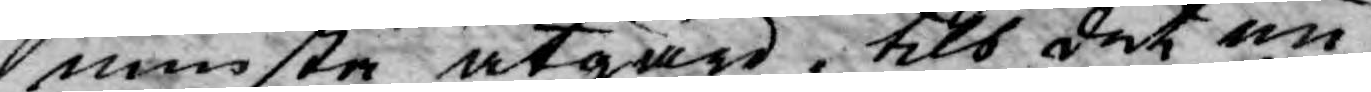minsta åtgärd, tils det nu
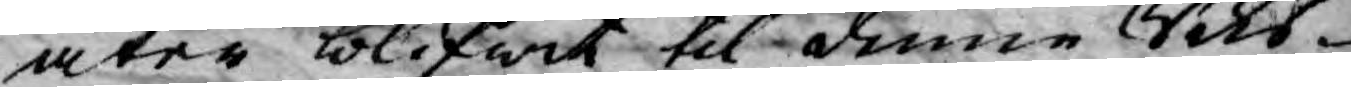åter blifwit til denne Riks¬
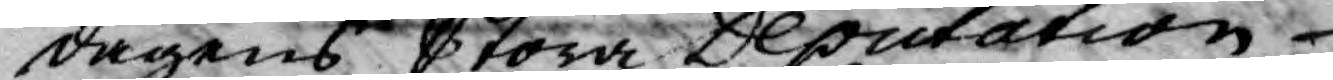dagens Stora Deputation
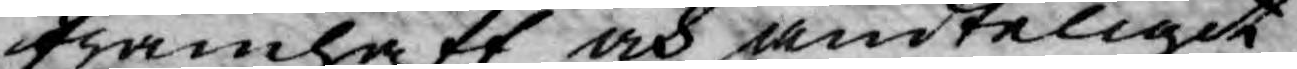framhaft och ändteligit
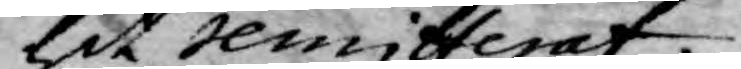hit remitterat.
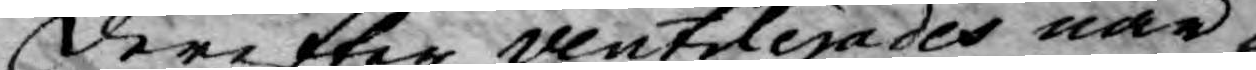Derefter ventilerades när¬
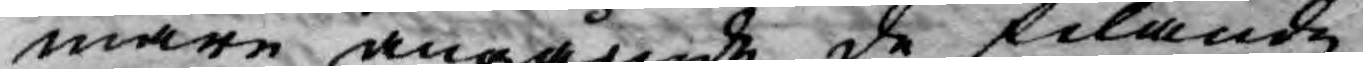mare angående de felande
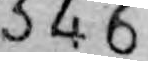346
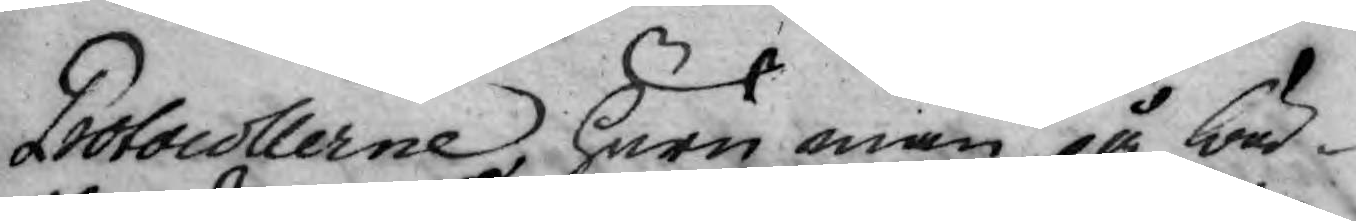Protocollerne, huru man på bä¬
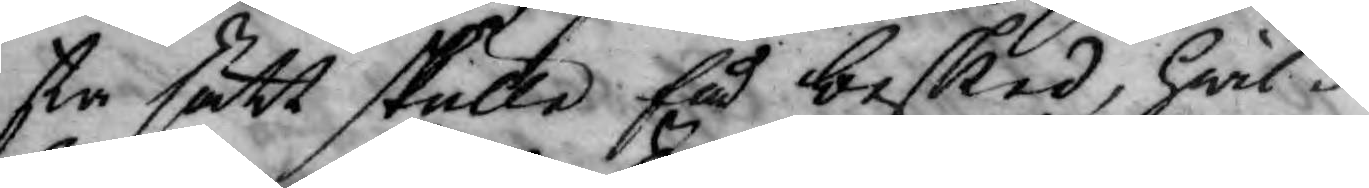sta sätt skulle få besked, hwil¬
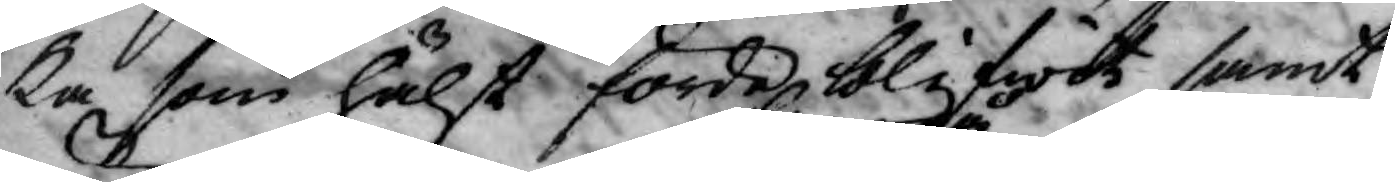ka som hälst förde blifwit samt
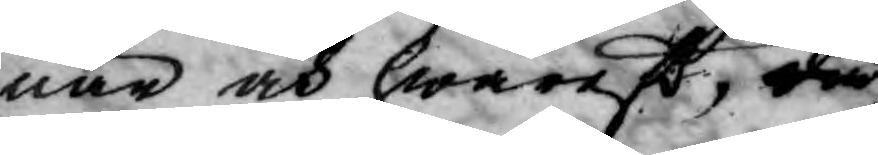när och hwareft, då
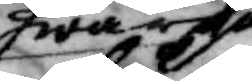hwarpå
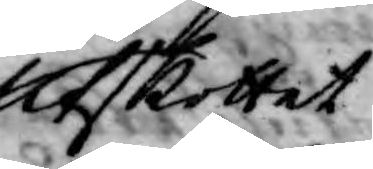Utskottet
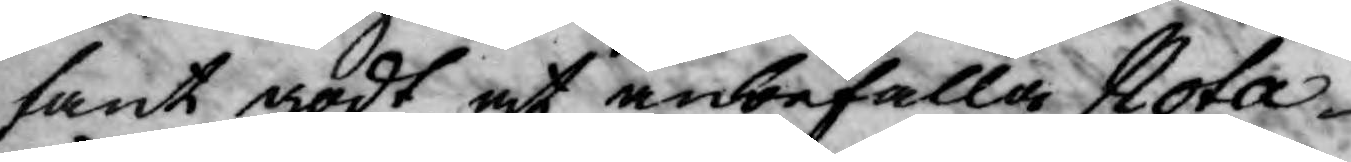fant godt at anbefalla Nota¬
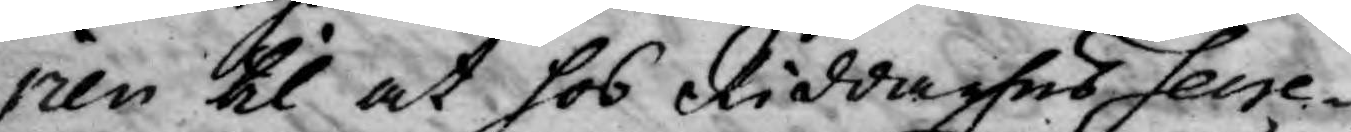rien til at hos Riddarhus Secre¬
